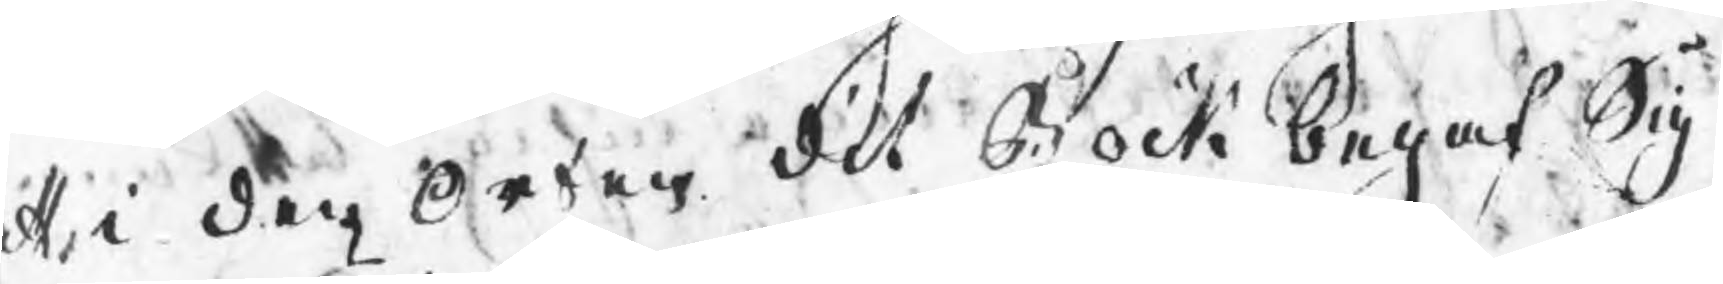att i den Orten dit Bock begaf Sig
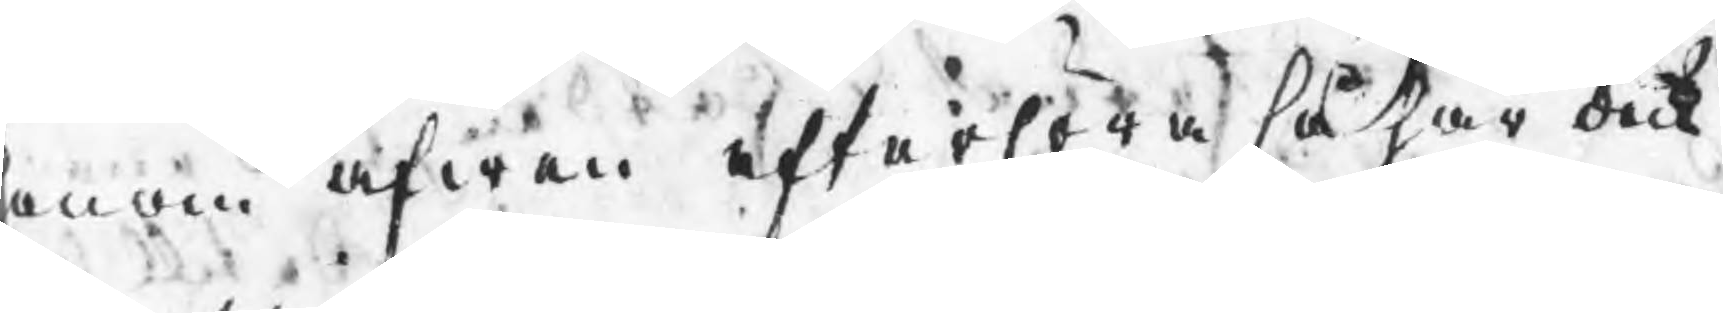honom äfwen efterhöra så har dock
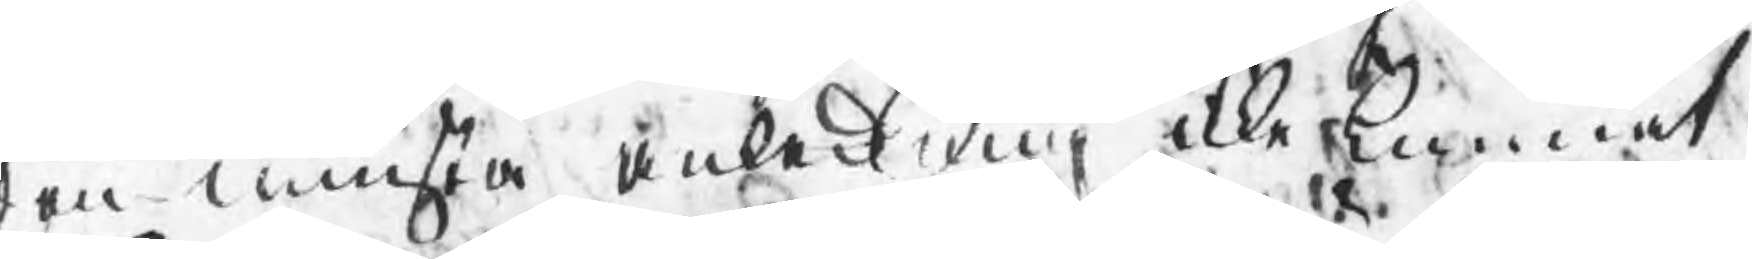den minsta anledning icke kunnat
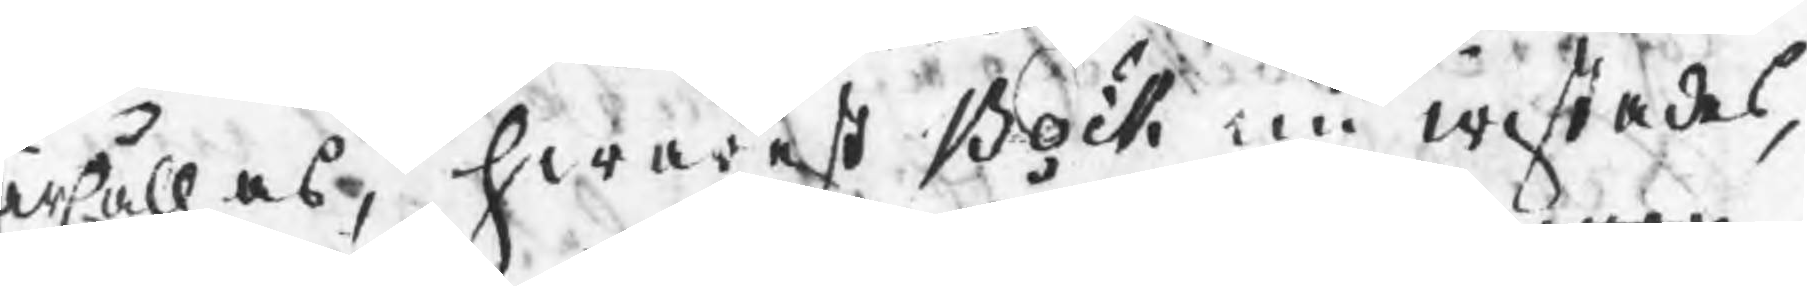ärhållas, hwarest Bock nu wistades,
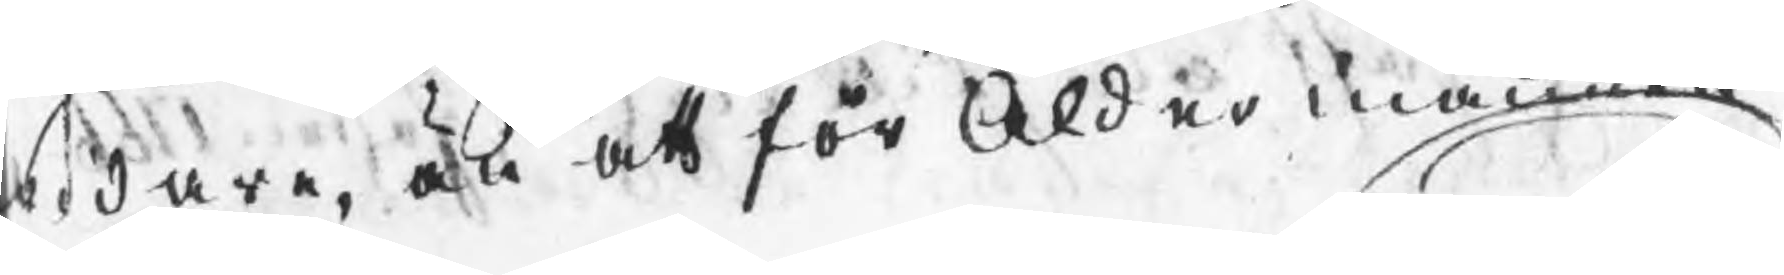widare är att för Åldermannen
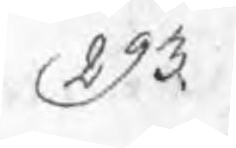293.
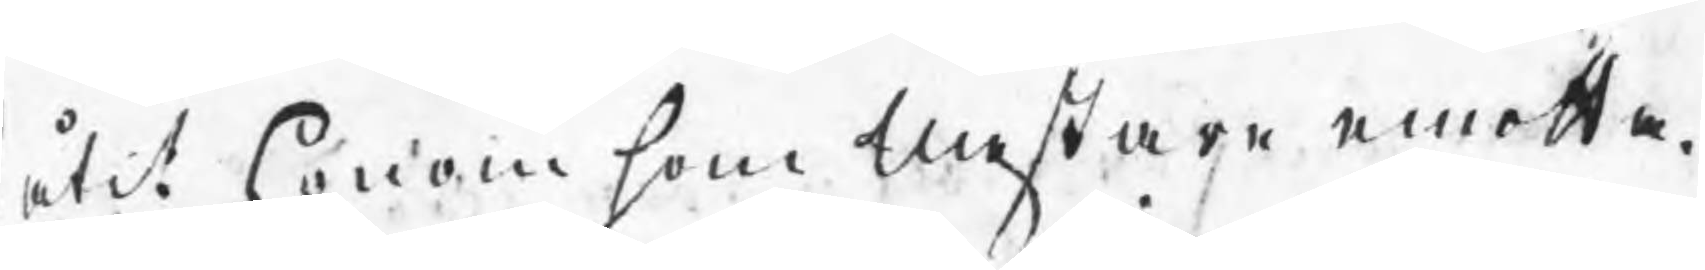låtit honom som Mestare emotta¬
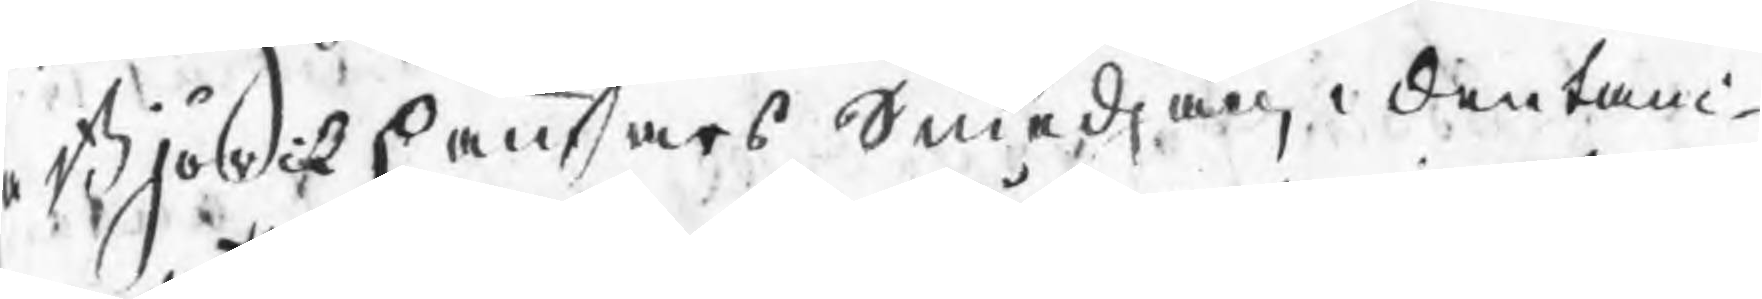a Björckhammars Smedjan, i den tan¬
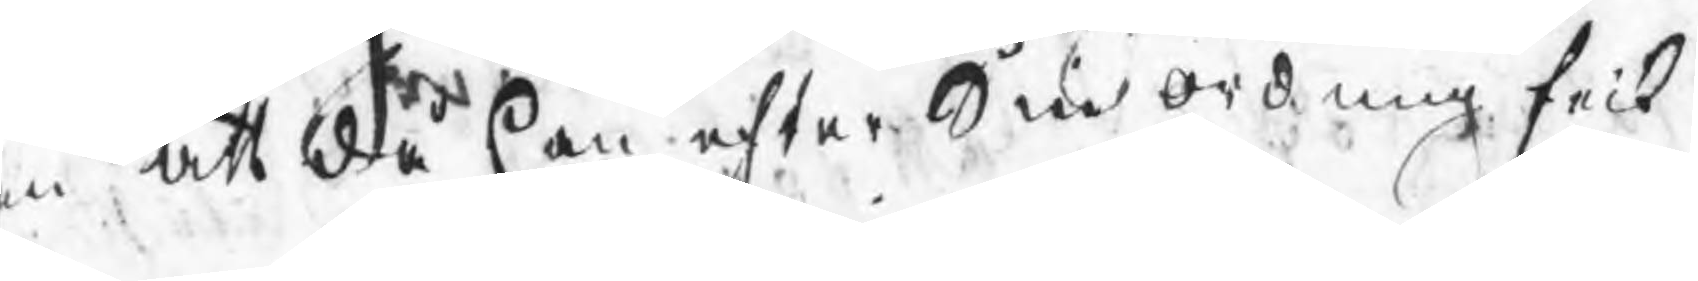n att då han efter Sin ordning feck
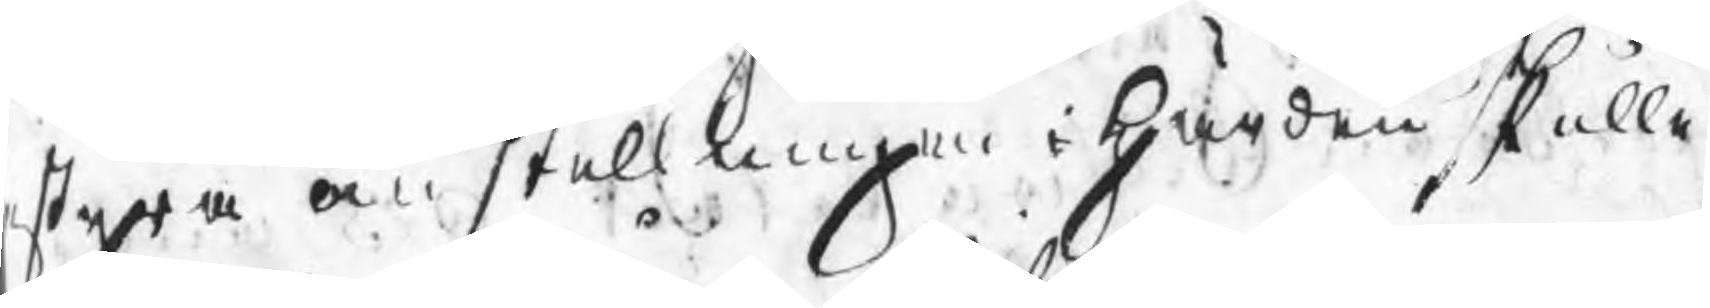styra omstellningen i härden skulle
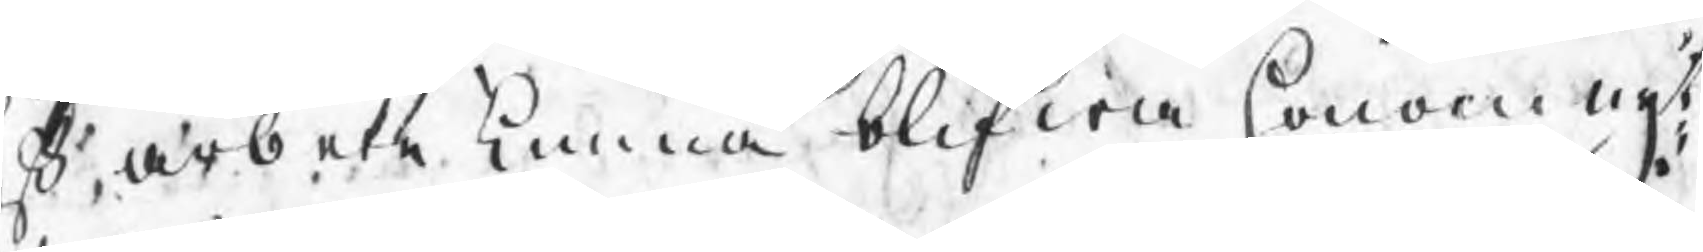eß arbete kunna blifwa honom nyt¬
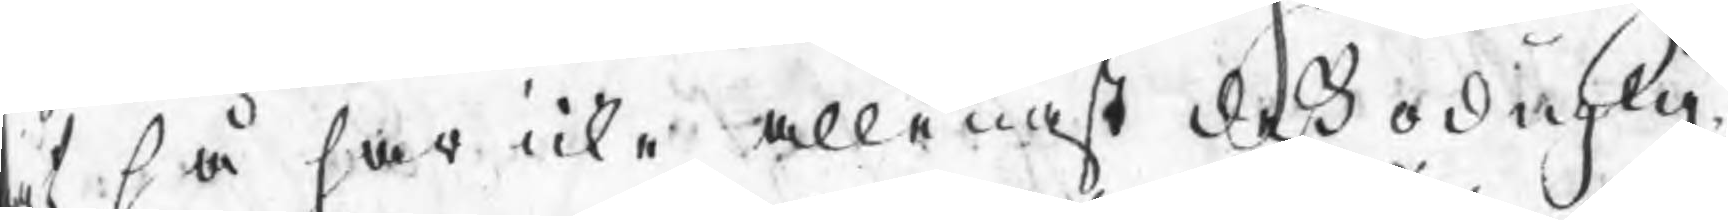gt så har icke allenast deß oduglig¬
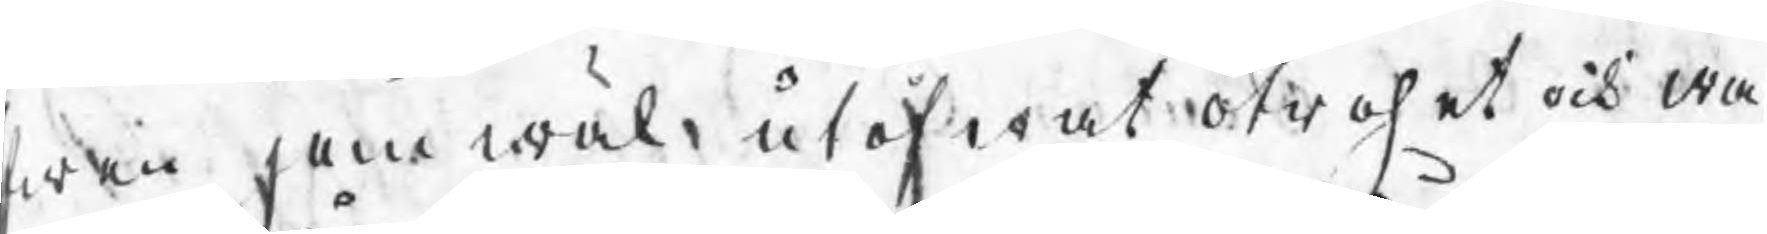fwen jemwäl utöfwat otrohet och wa¬
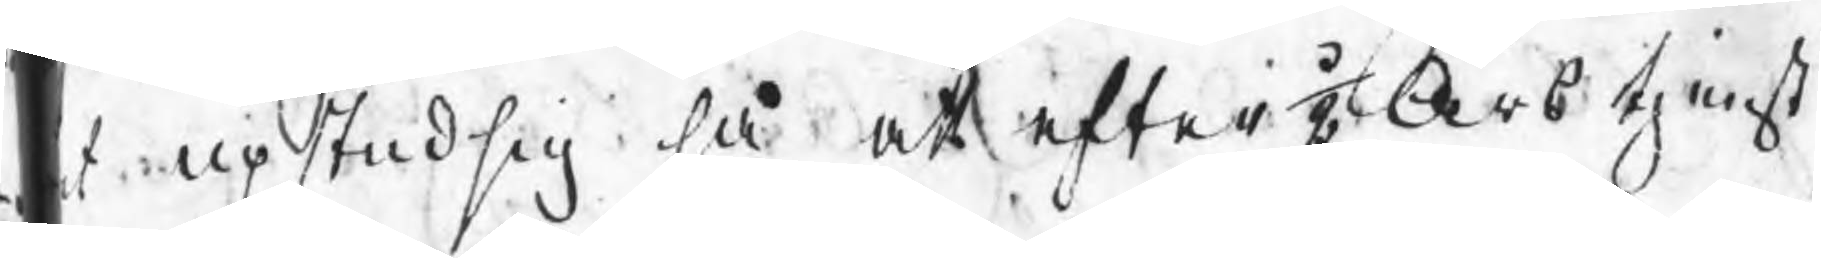t upstudsig så at efter ½ Års tjenst
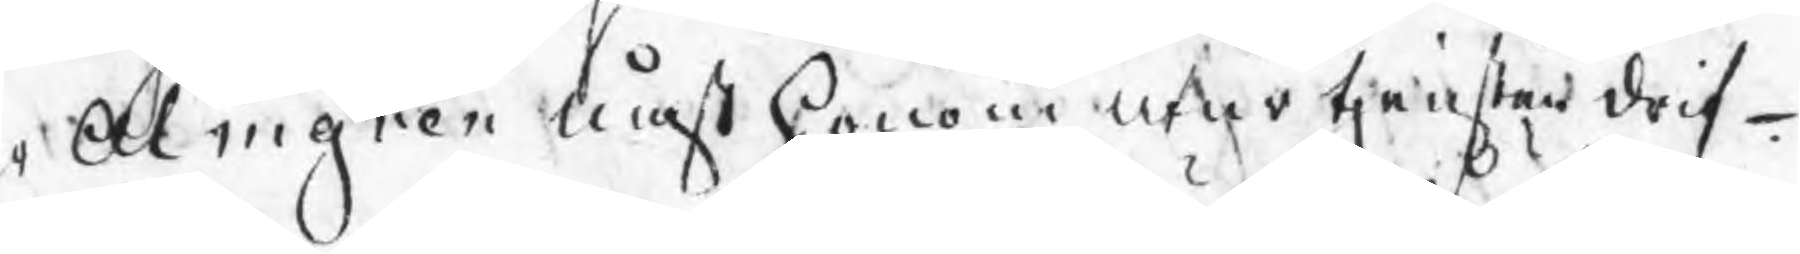r Almgren måst honom utur tjensten drif¬
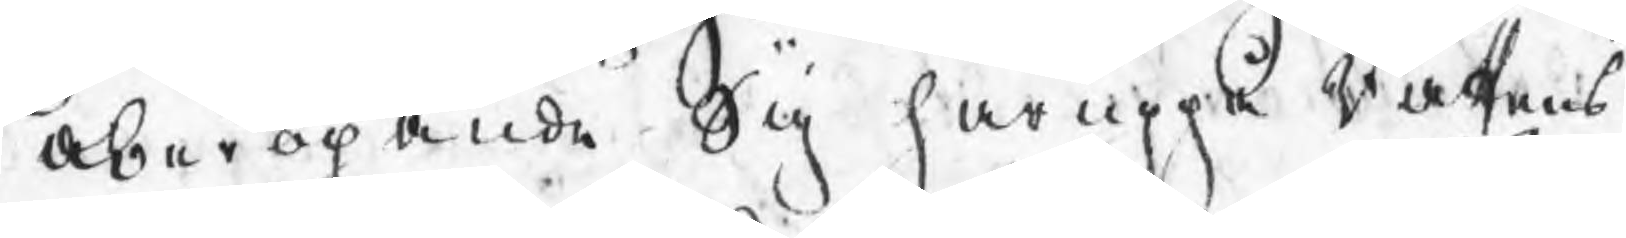a, åberopande Sig häruppå Rättens
